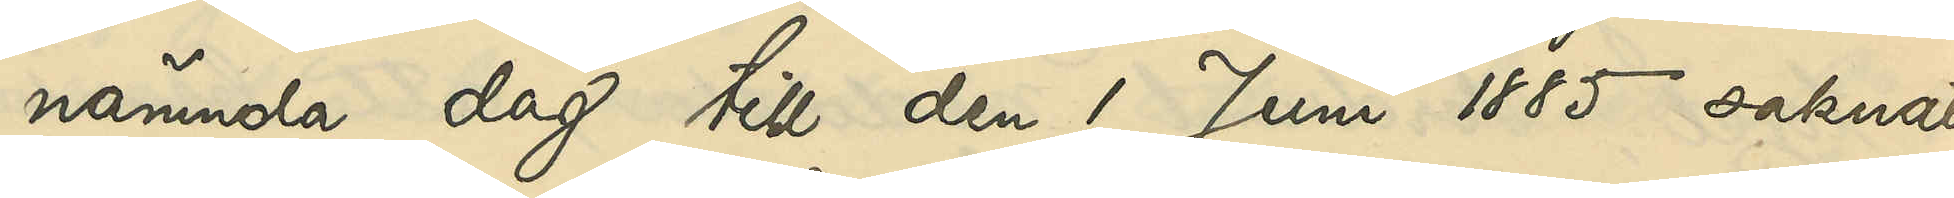nämnda dag till den 1 Juni 1885 saknat
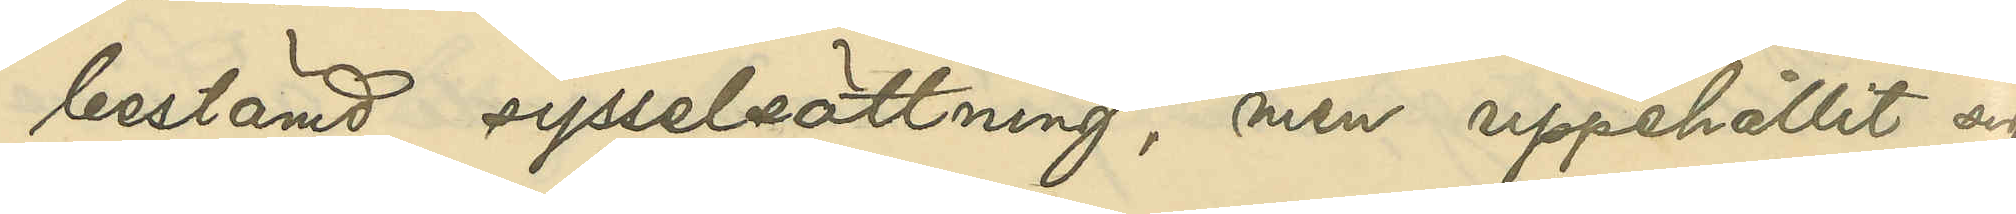bestämd sysselsättning, men uppehållit sig
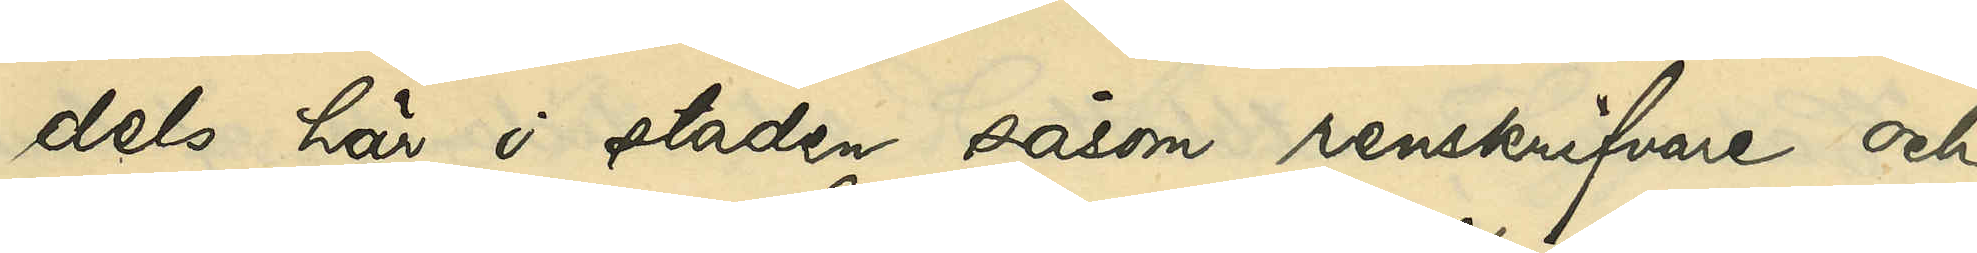dels här i staden såsom renskrifvare och
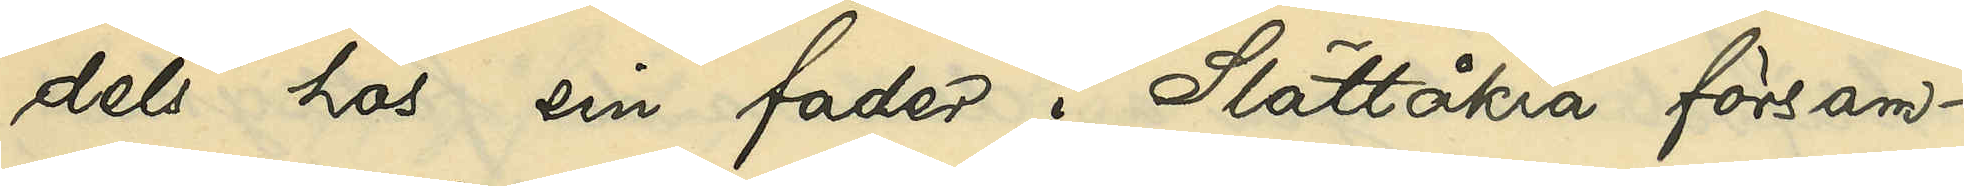dels hos sin fader i Slättåkra försam¬
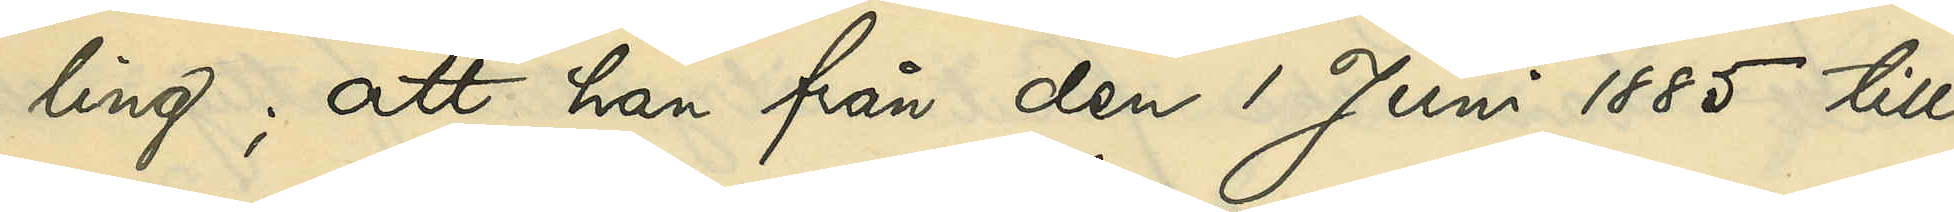ling; att han från den 1 Juni 1885 till
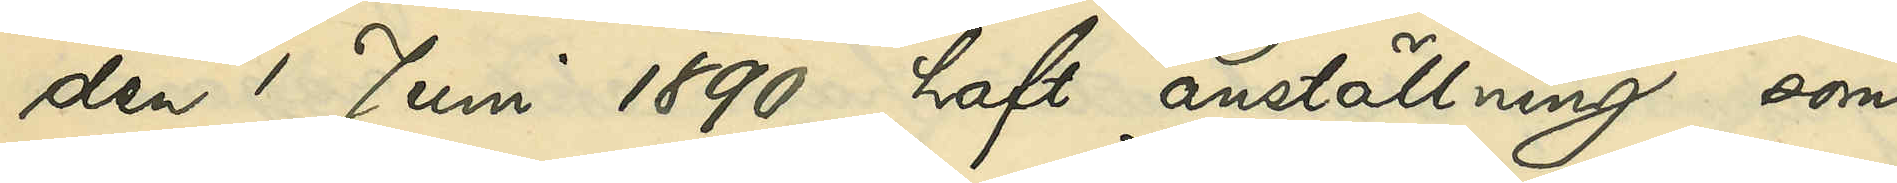den 1 Juni 1890 haft anställning som
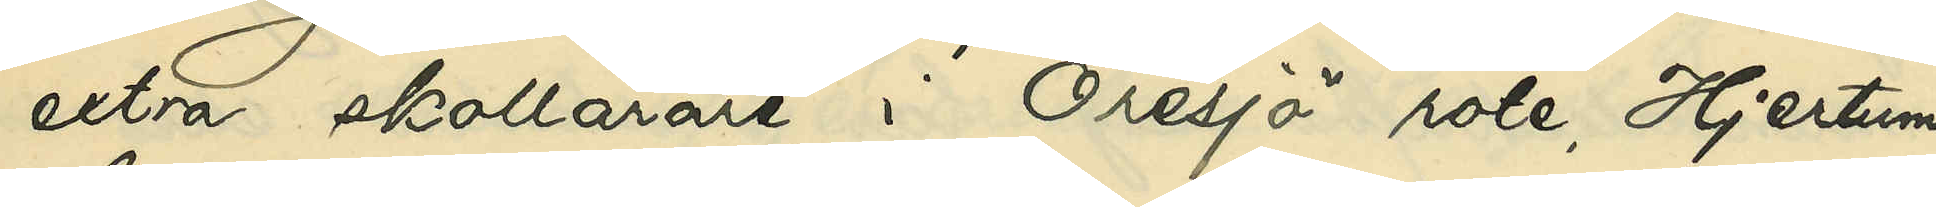extra skollärare i Öresjö rote, Hjertums
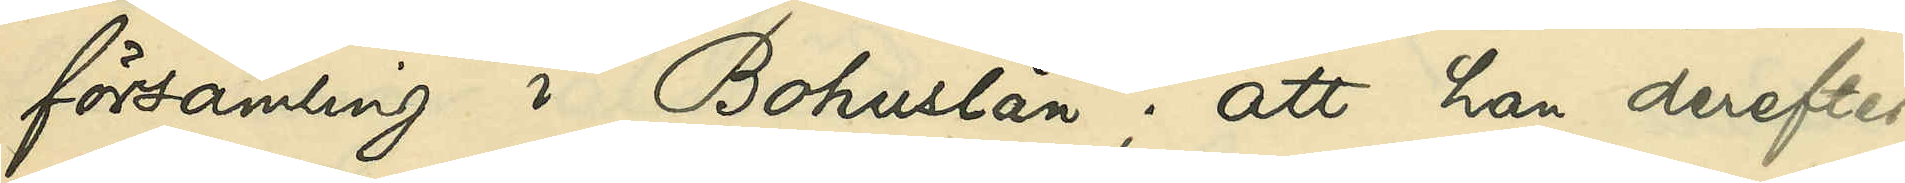församling i Bohuslän; att han derefter,
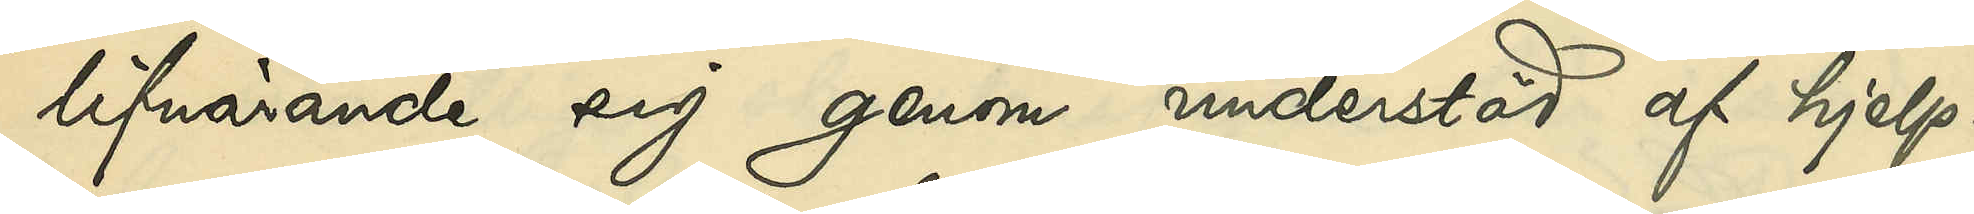lifnärande sig genom understöd af hjelp¬
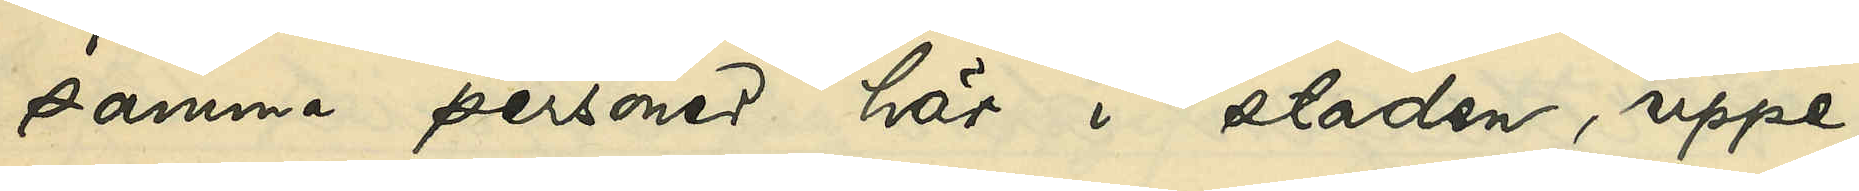samma personer här i staden, uppe¬
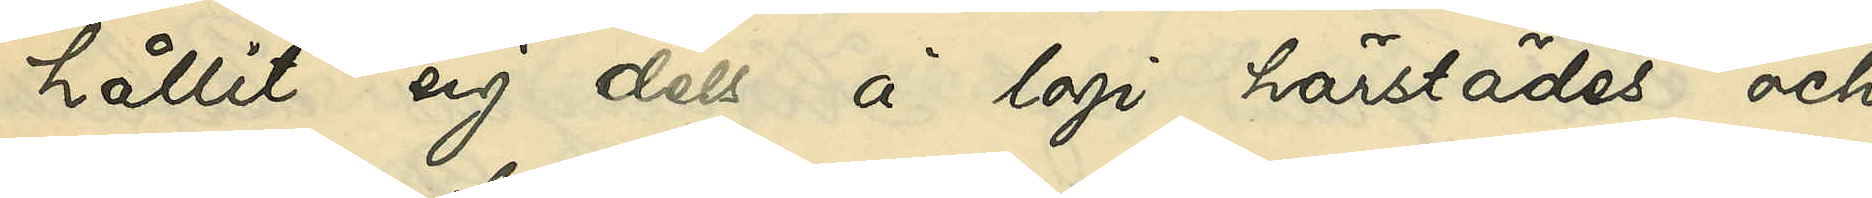hållit sig dels å logi härstädes och
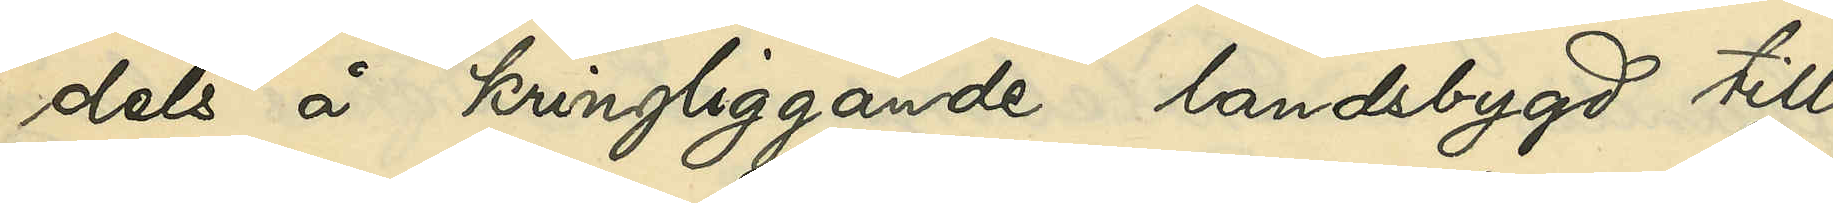dels å kringliggande landsbygd till
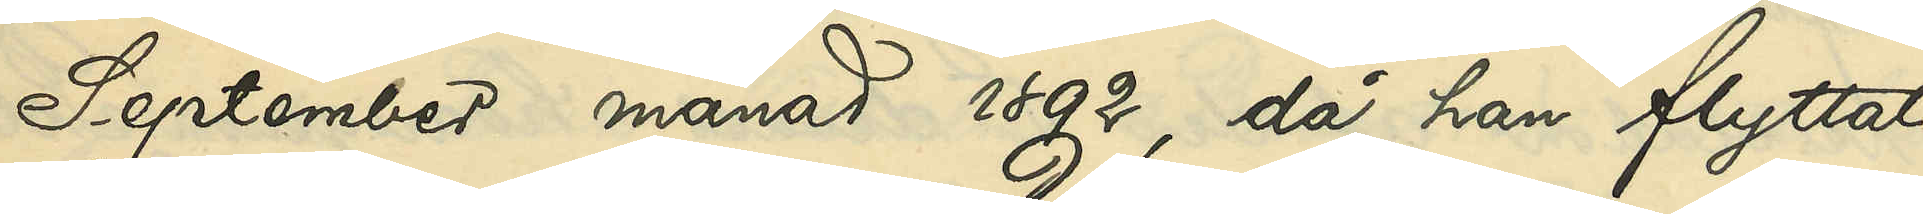September månad 1892, då han flyttat
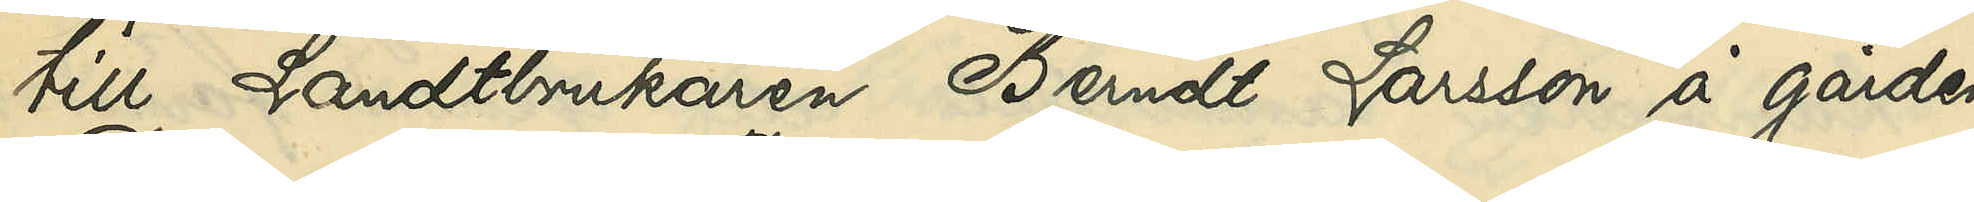till Landtbrukaren Berndt Larsson å gården
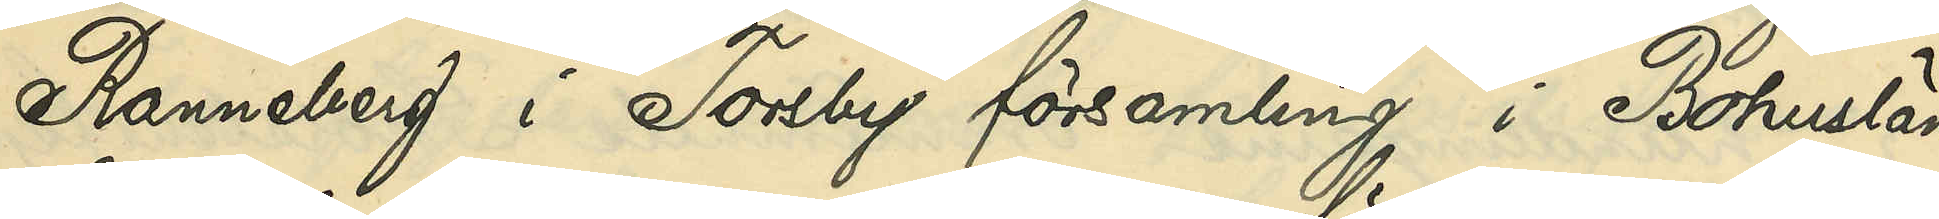Ranneberg i Toreby församling i Bohuslän,
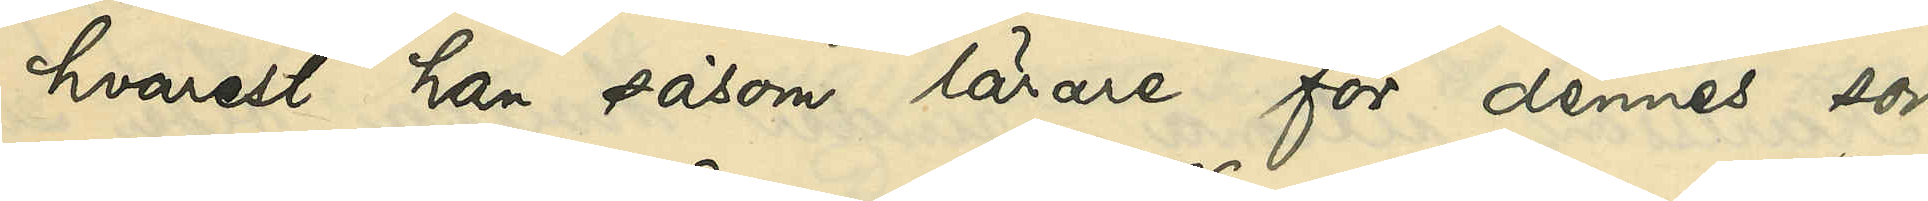hvarest han såsom lärare för dennes son
